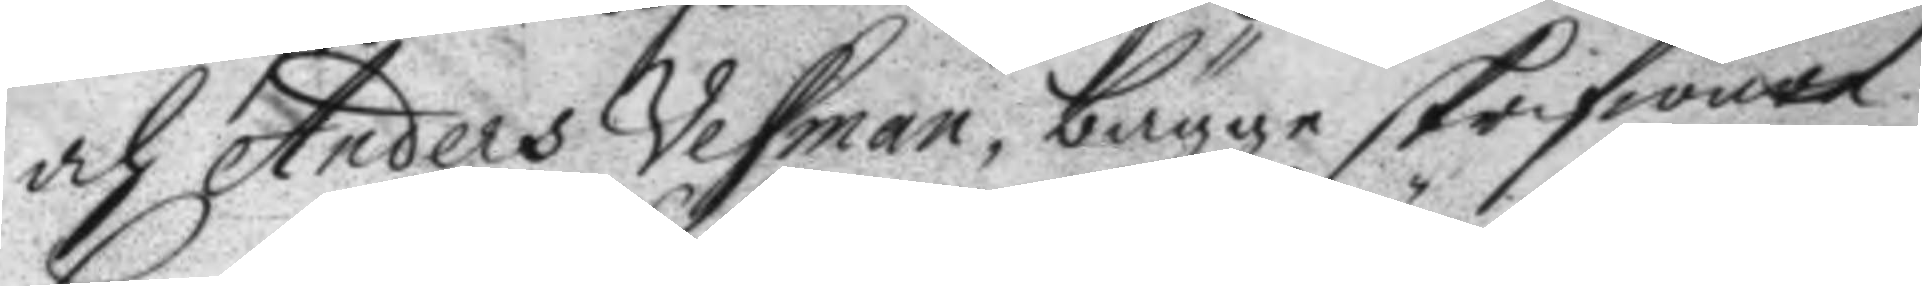och Anders Vesman, bägge skrifware
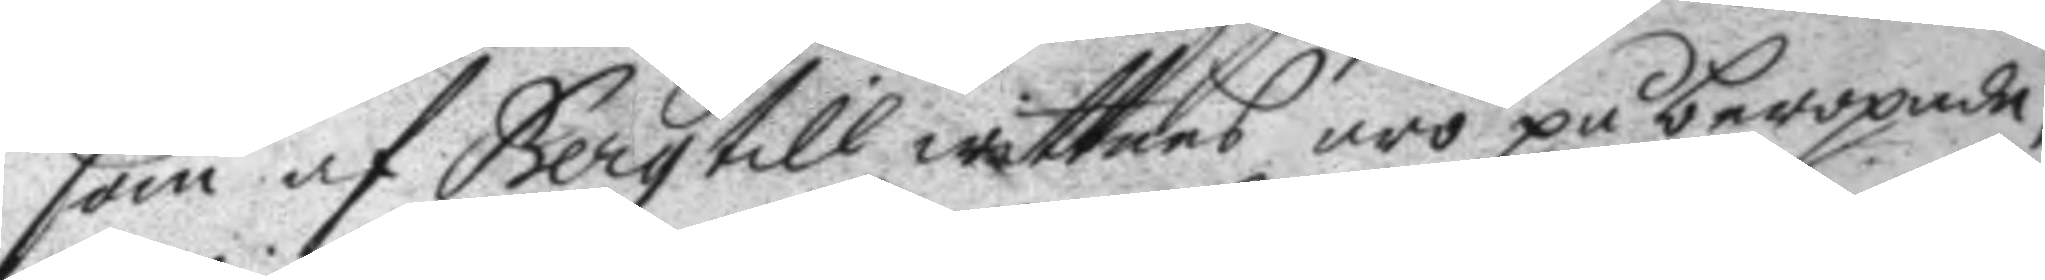som af Berg till wittnes äro på beropade;
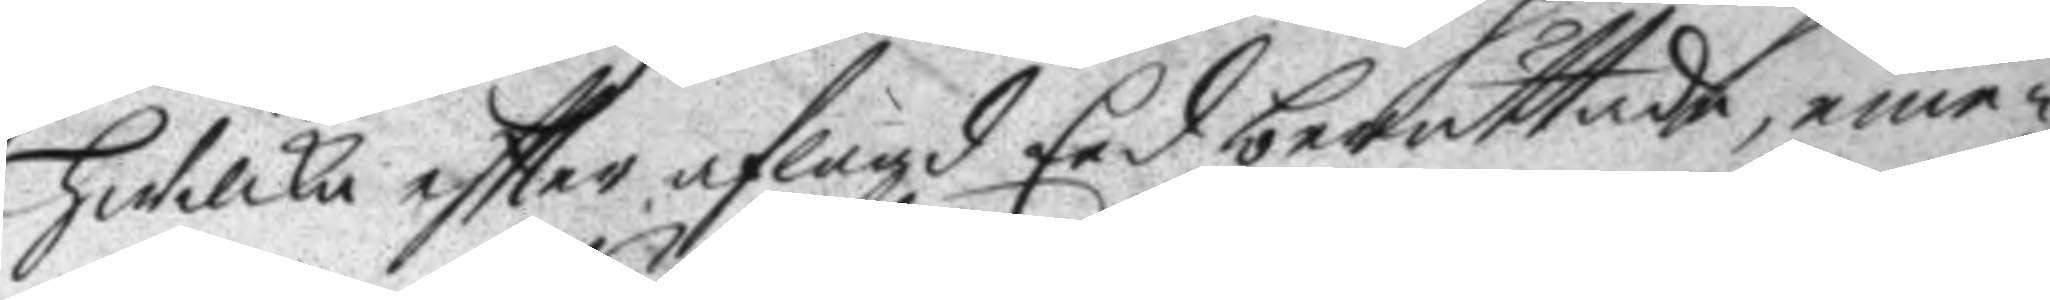hwilka eftter aflagd Eed berättade, eme¬
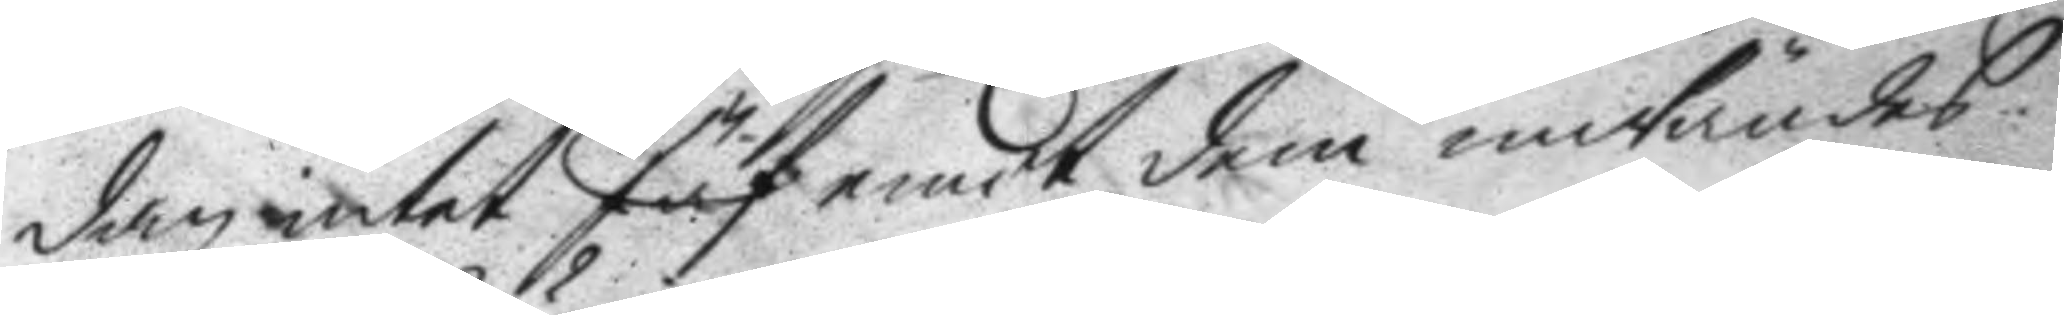dan intet Jäf emot dem inwändes
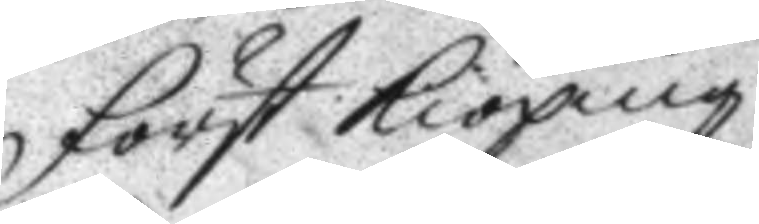först kiöping
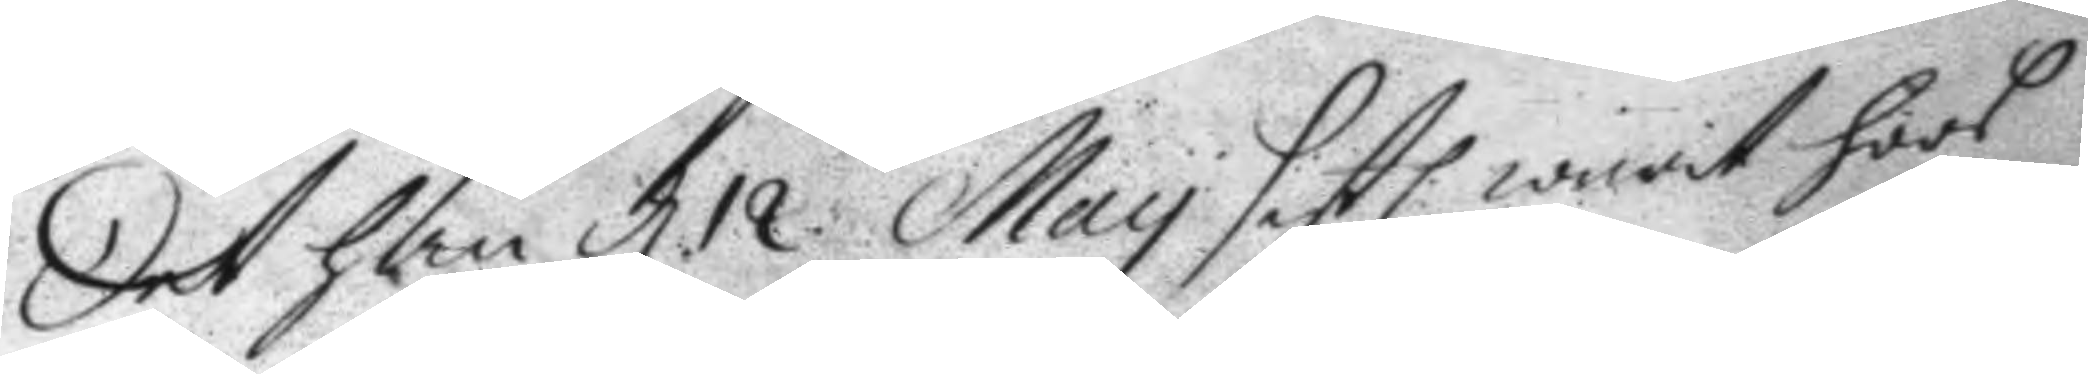det han d. 12. May sistl. warit hoos
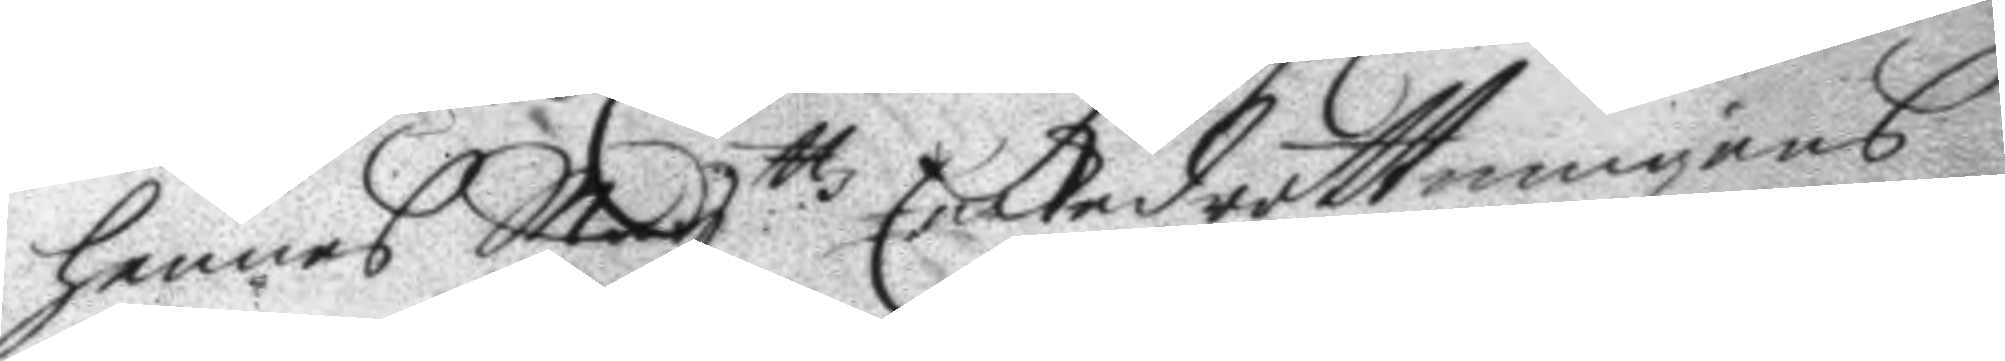hennes May:ttz Enkedrottningens
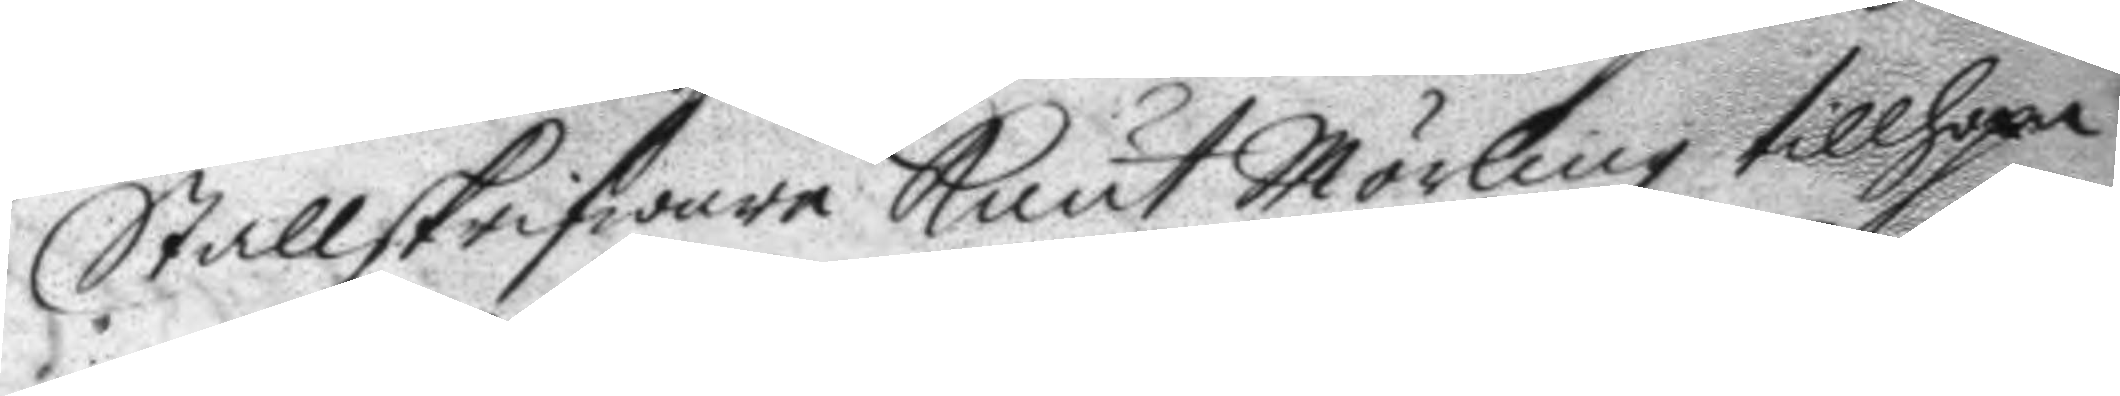Stallskrifware Knut Mörling tillhopa
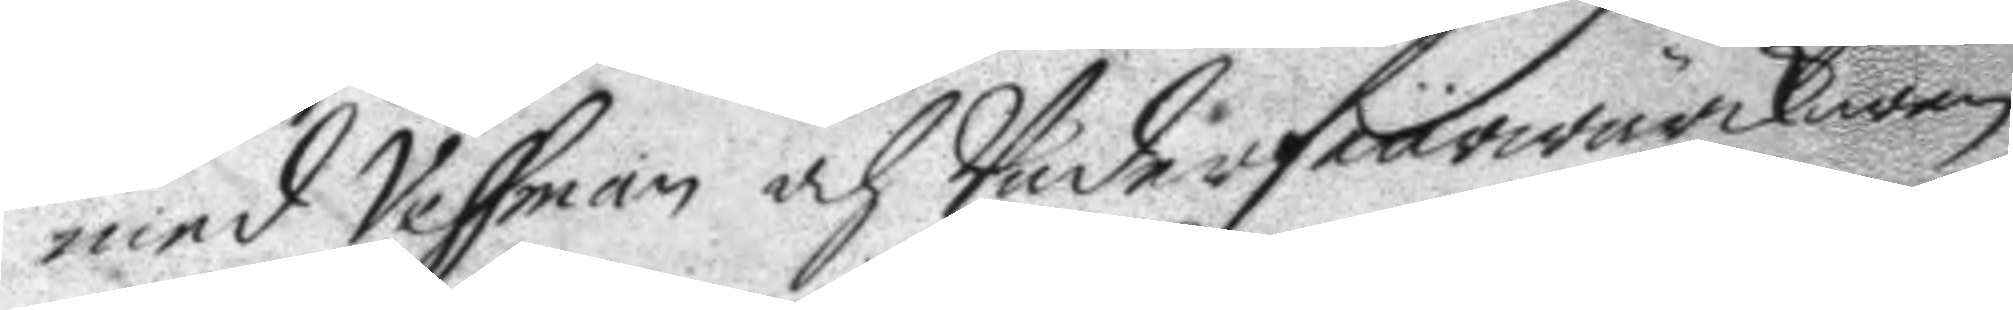med Vessman och Underfeurwärkaren
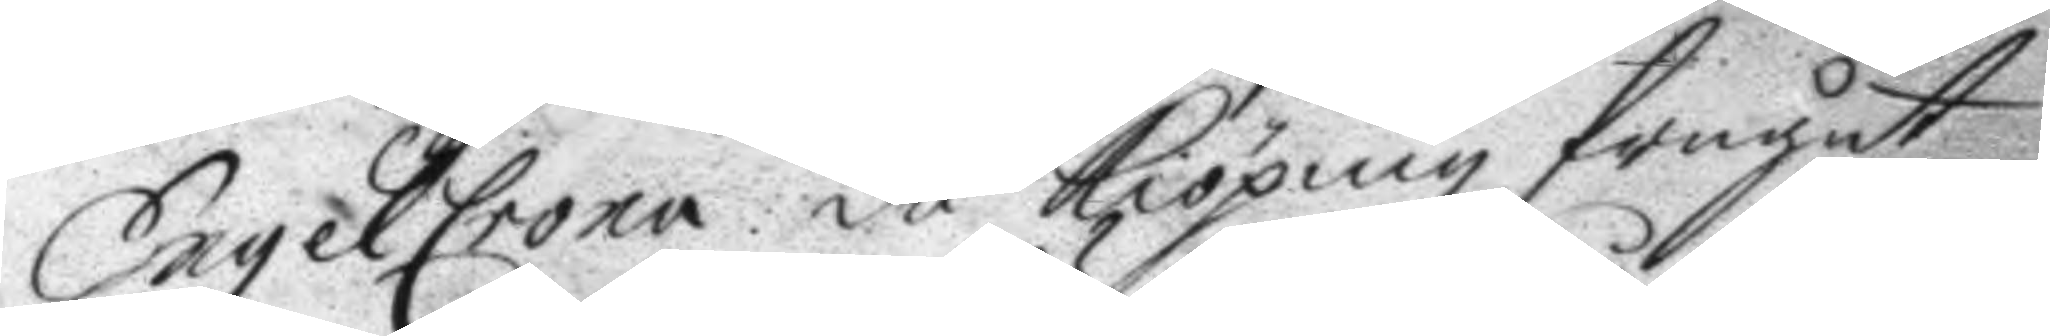EngelCrona: då Kiöping frågat
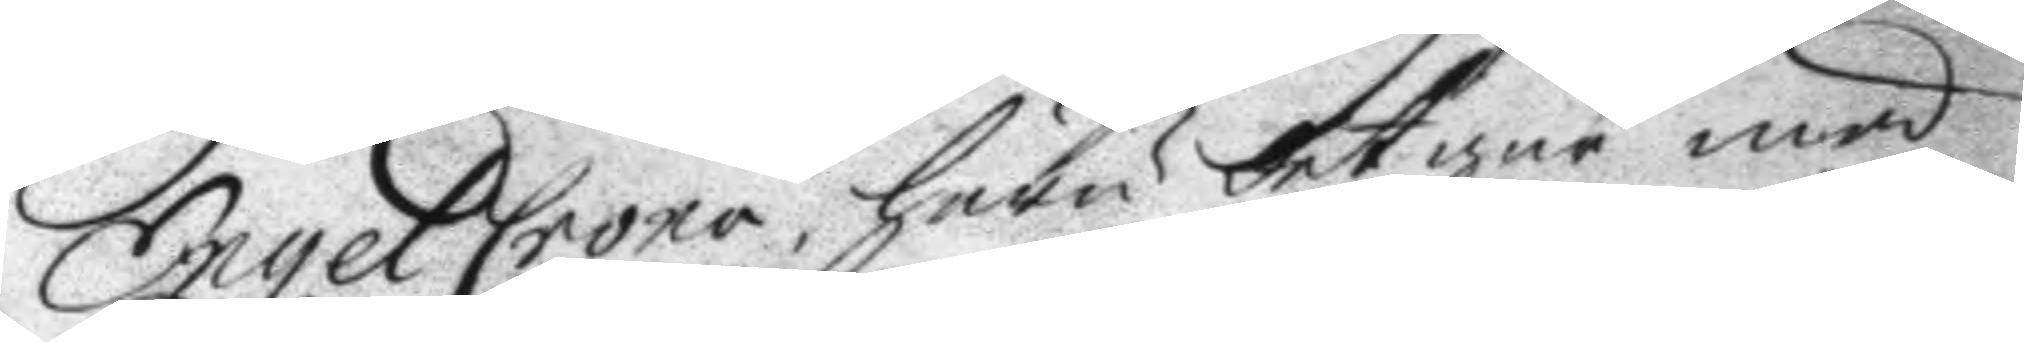EngelCrona, huru det går med
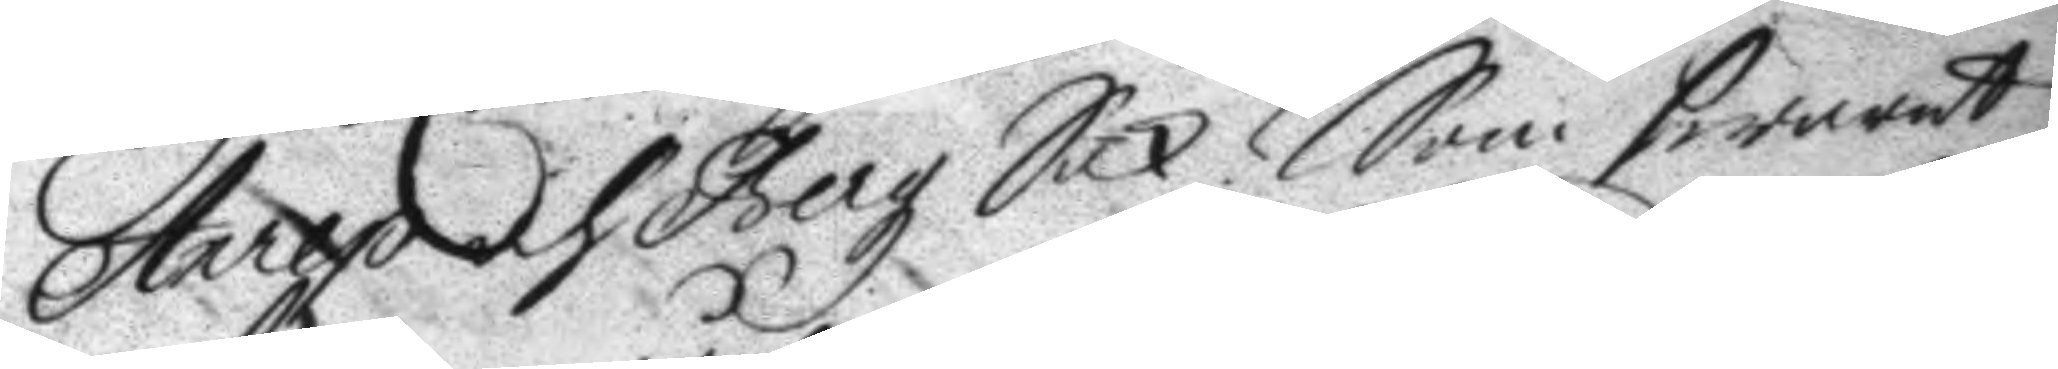Anrep och Bergz Sak? Som swarat
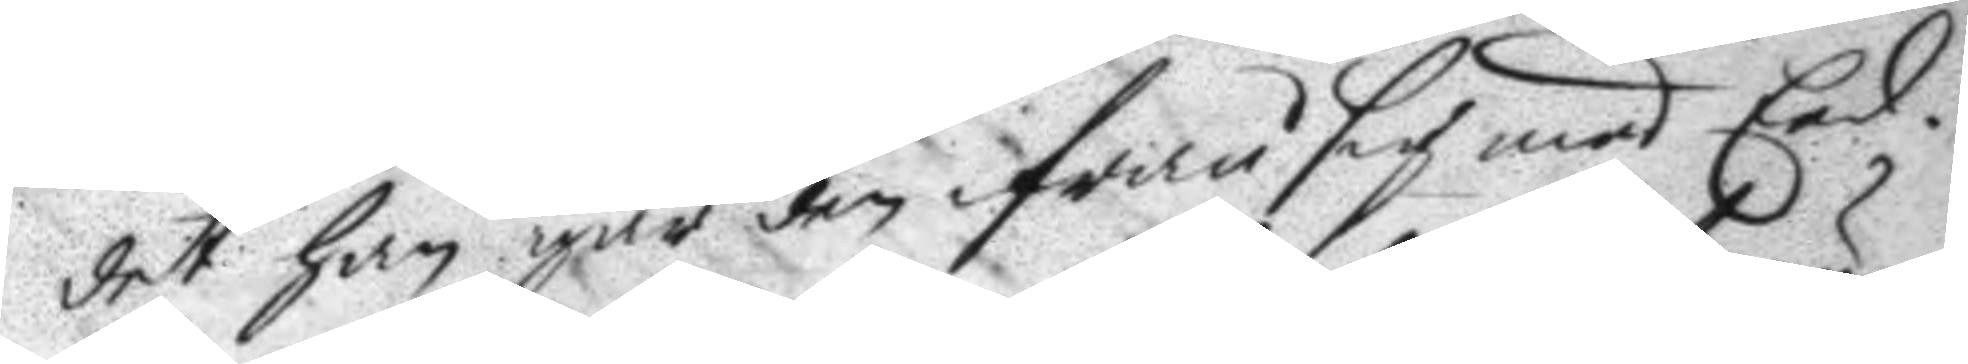det han går den ifrån sig med Eed.
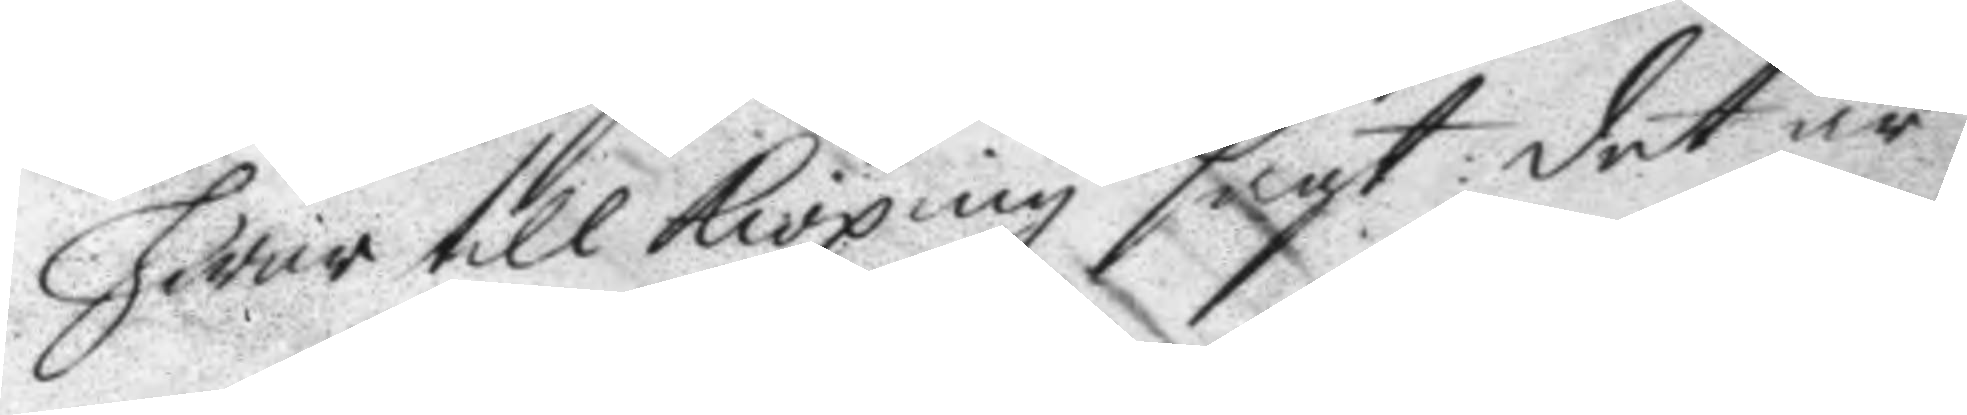hwar till Kiöping sagt: det är
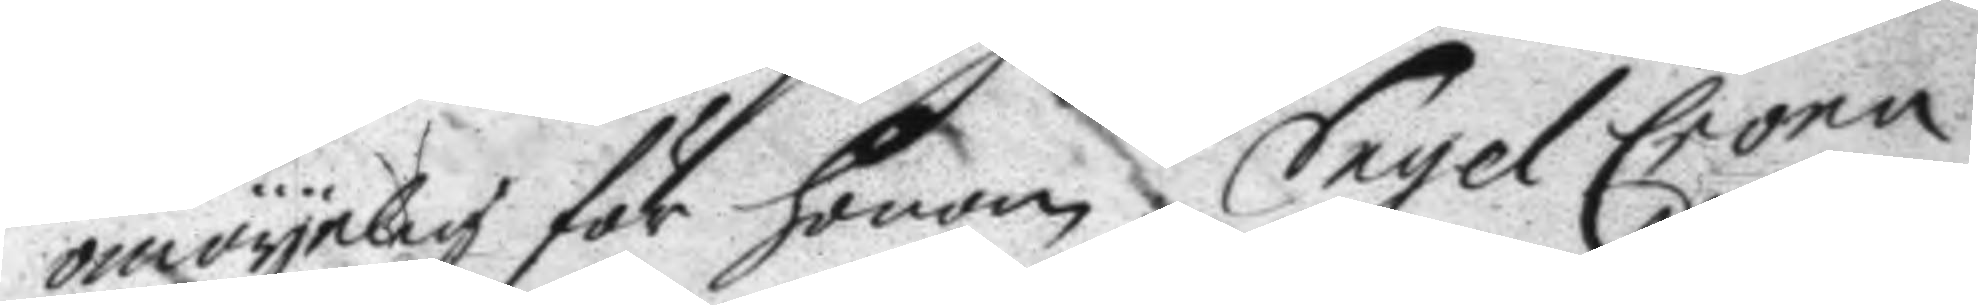omöyelig för honom. EngelCrona
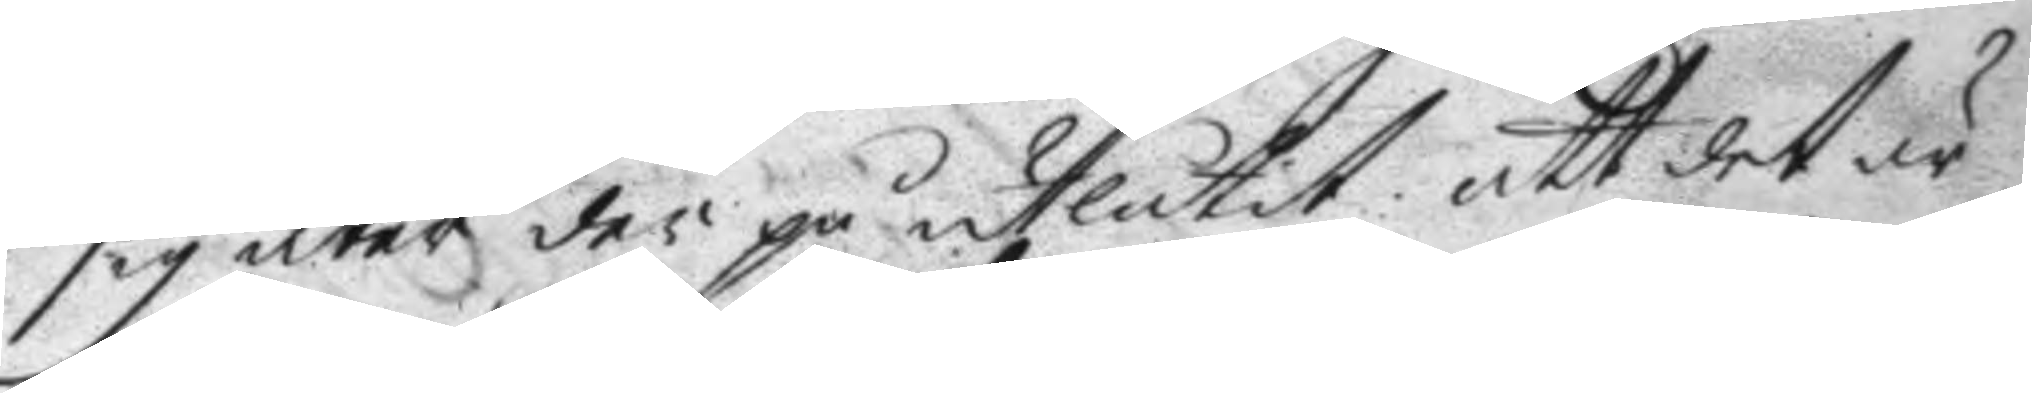sig åter der på uteslutit att det är
